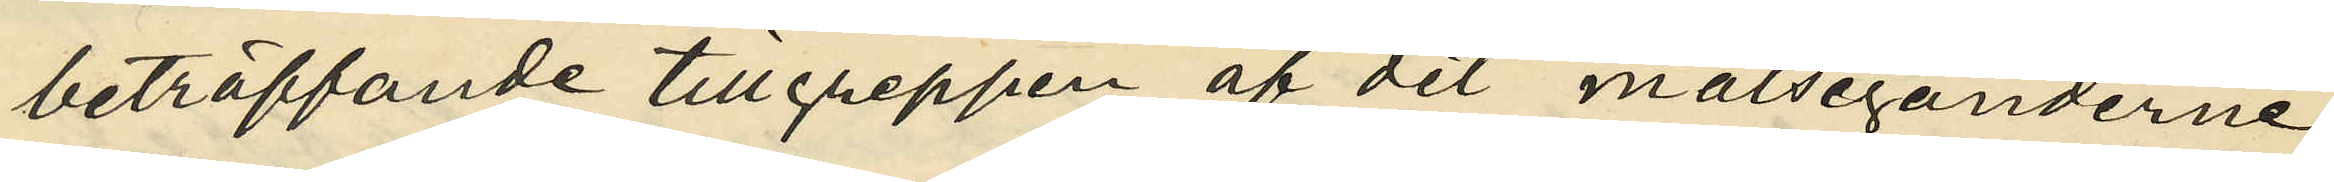beträffande tillgreppen af det målseganderne
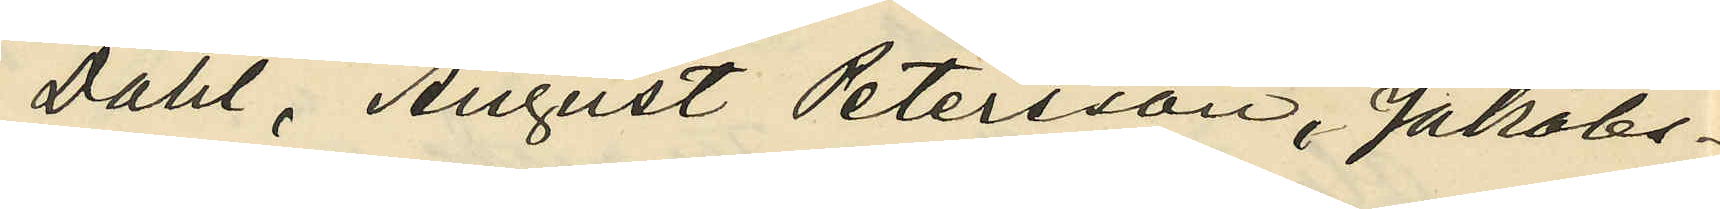Dahl, August Petersson, Jakobs¬
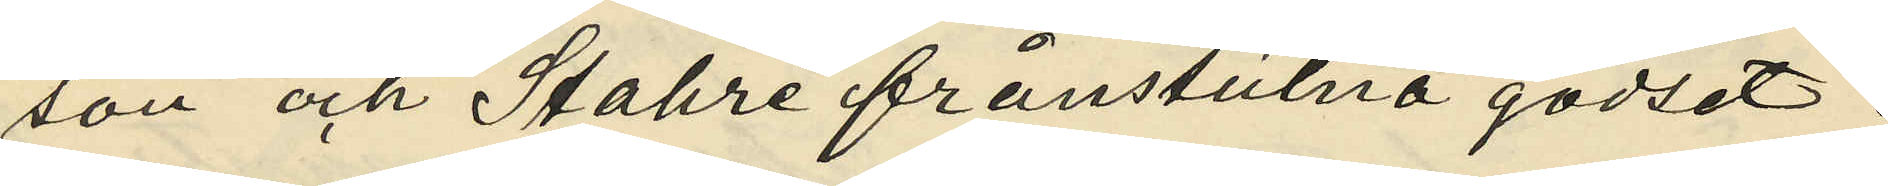son och Stahre frånstulna godset;
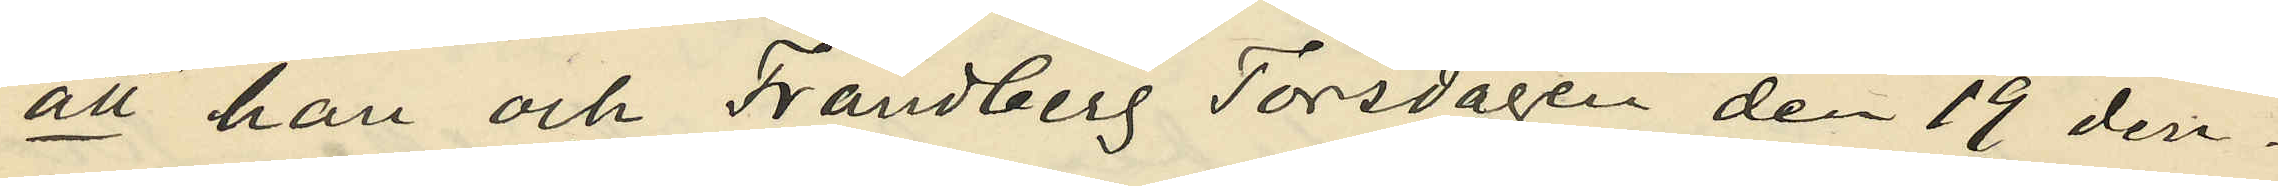att han och Frändberg Torsdagen den 19 den¬
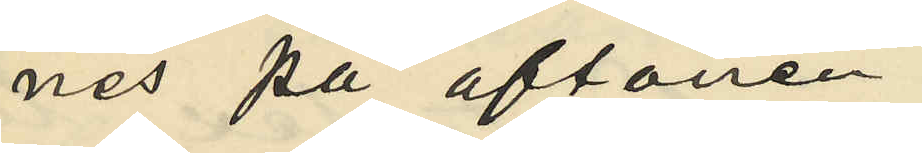nes på aftonen
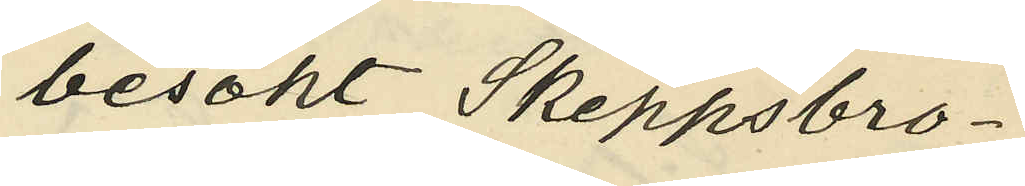besökt Skeppsbro¬
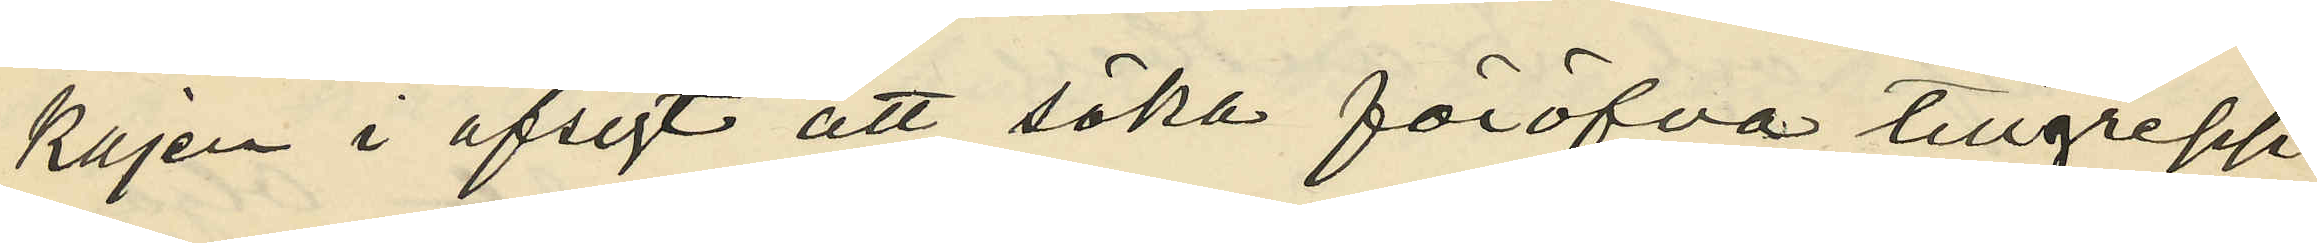kajen i afsigt att söka föröfva tillgrepp;
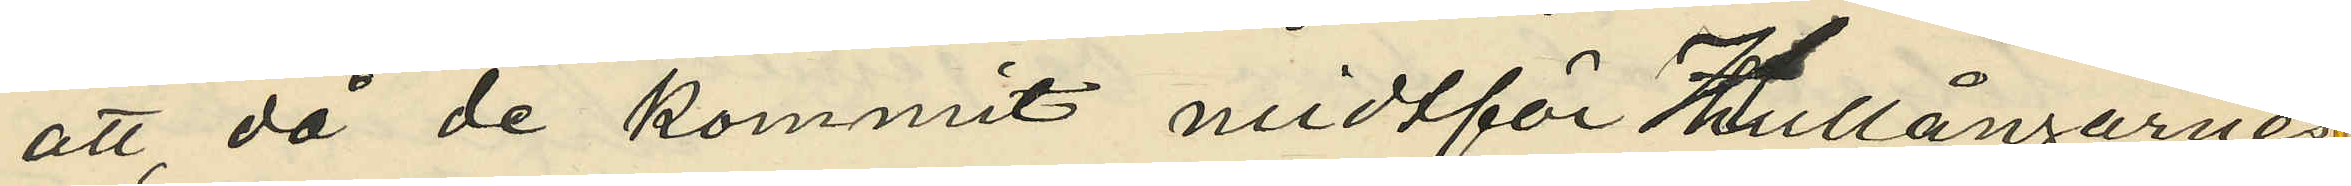att, då de kommit midtför Hullångarnes
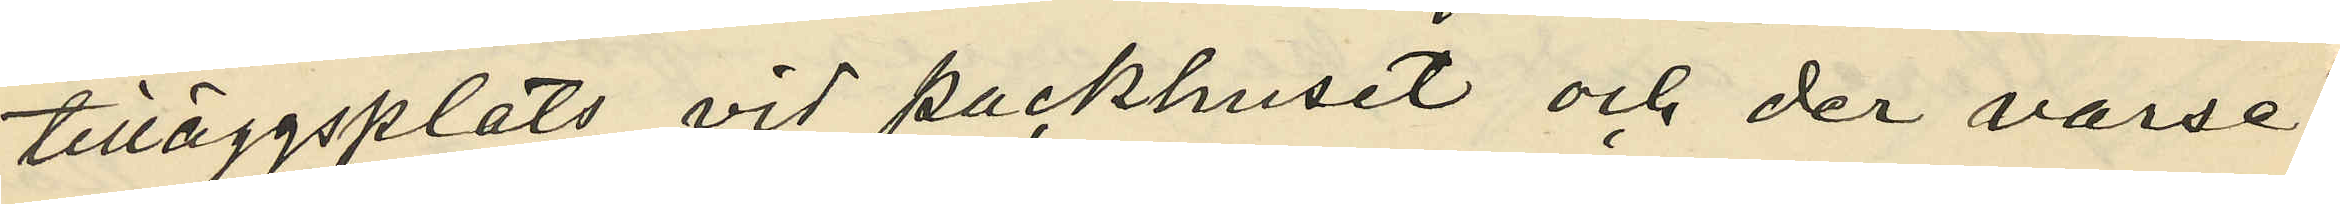tilläggsplats vid packhuset och der varse¬
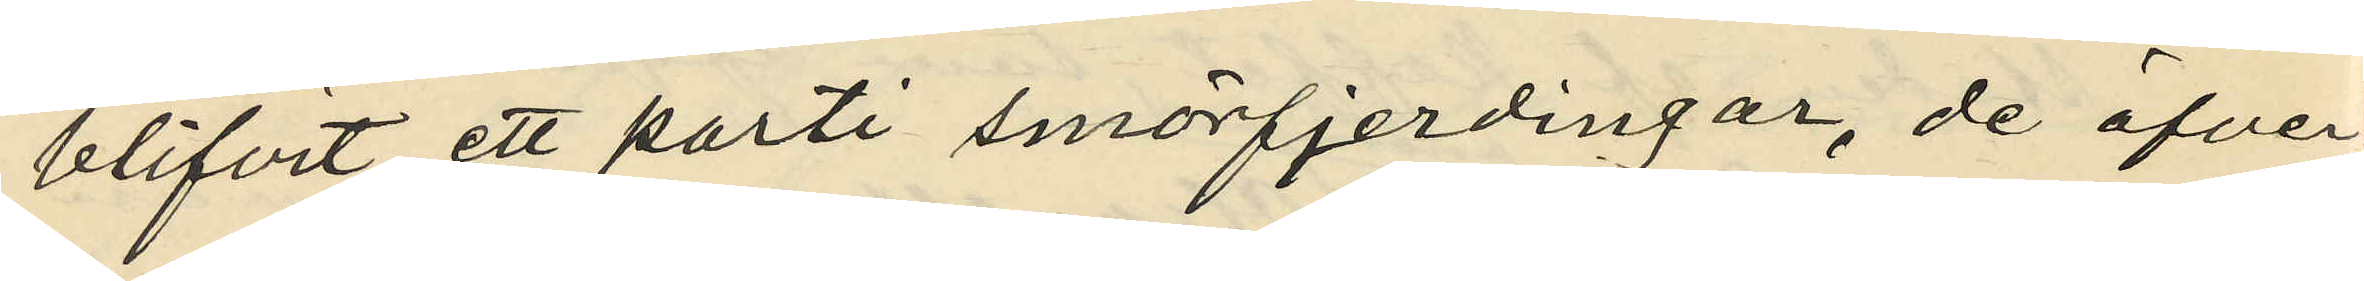blifvit ett parti smörfjerdingar, de öfver¬
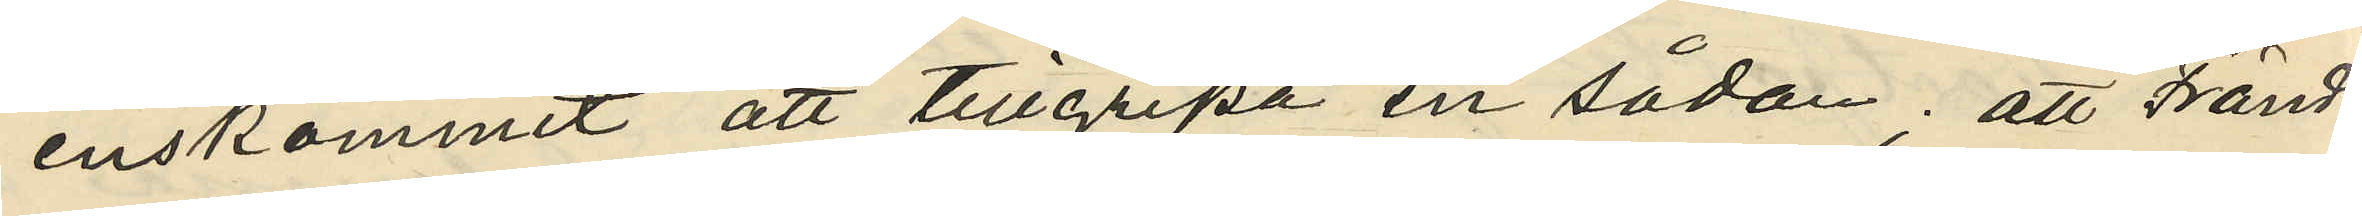enskommit att tillgripa en sådan; att Fränd¬
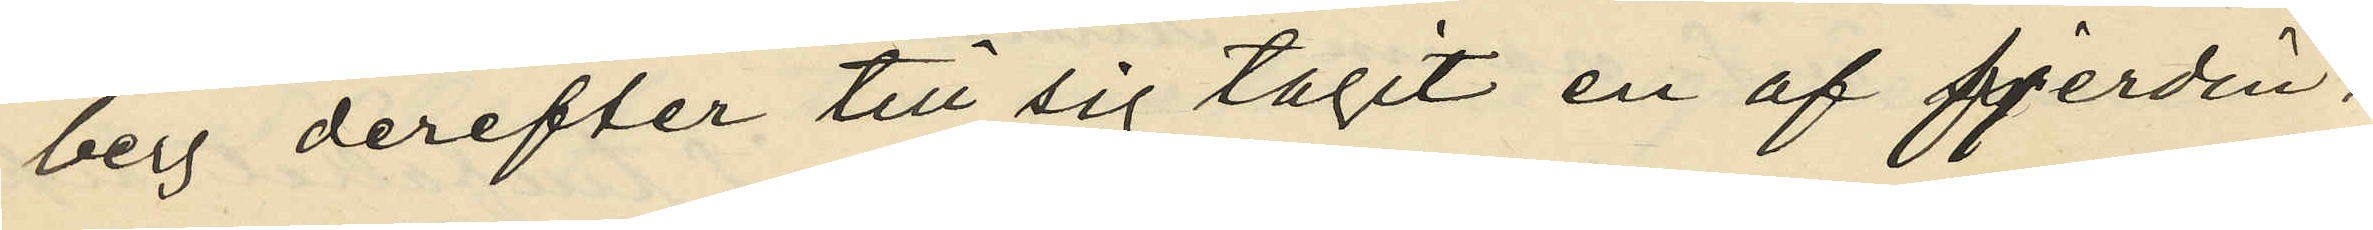berg derefter till sig tagit en af fjerdin¬
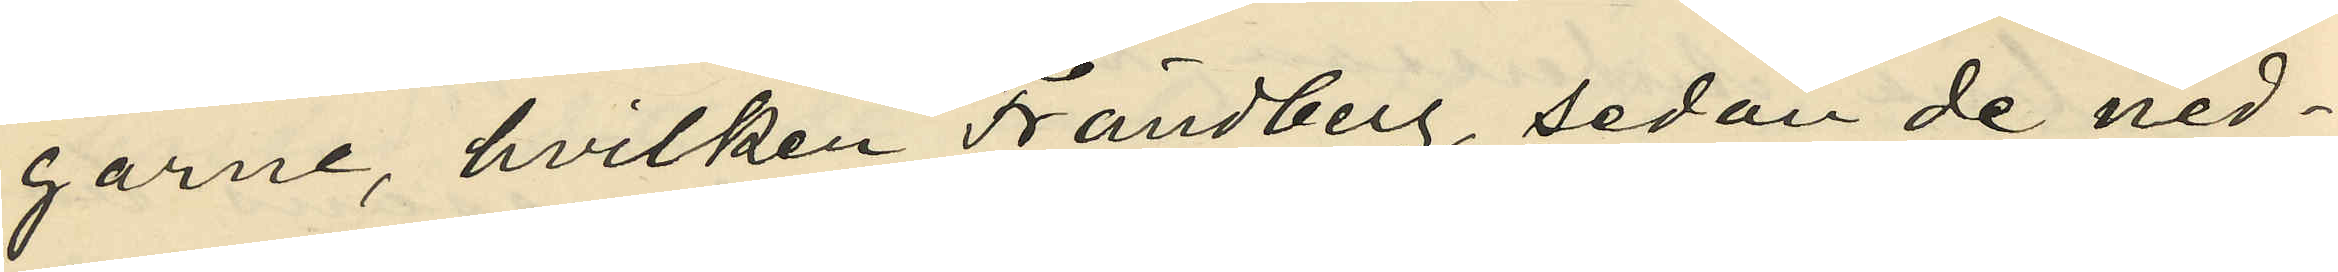garne, hvilken Frändberg, sedan de ned¬
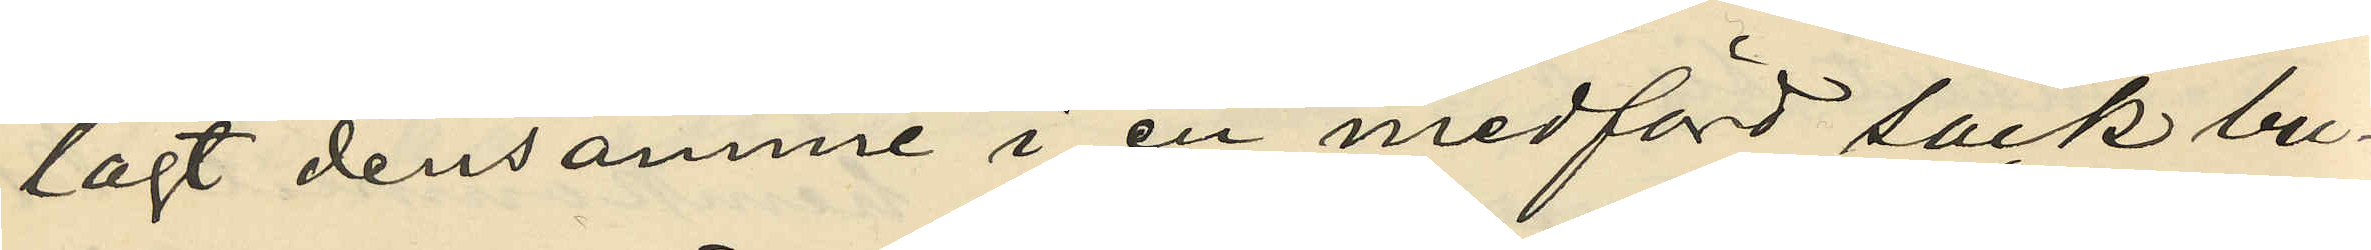lagt densamme i en medförd säck bu¬
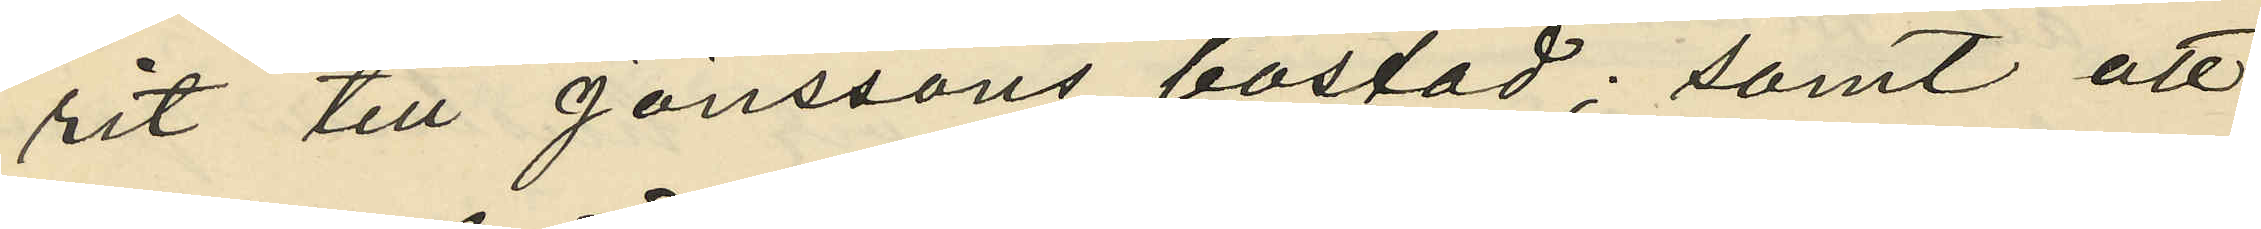rit till Jönssons bostad; samt att
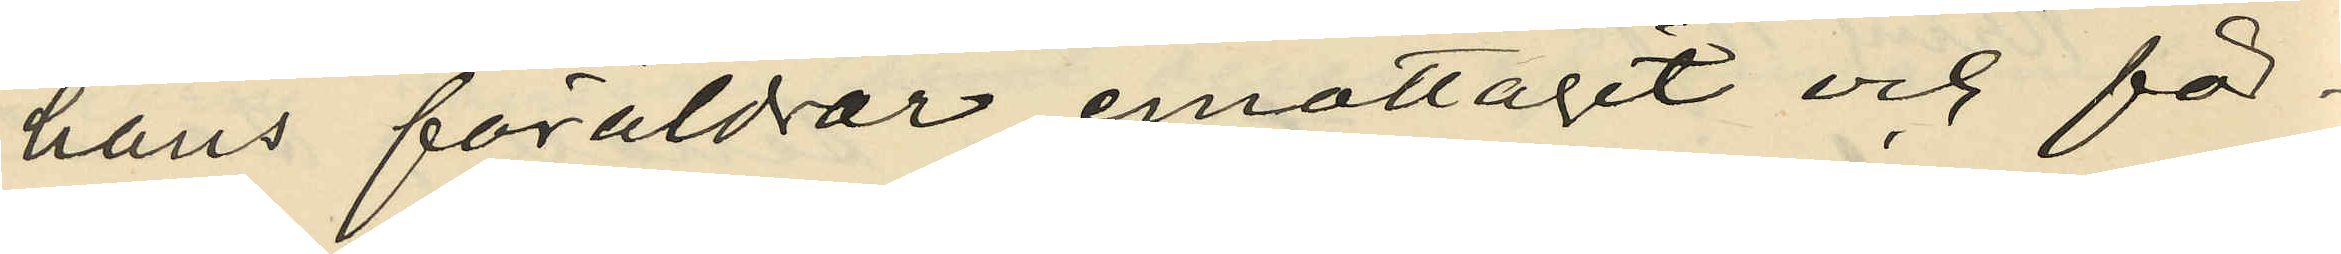hans föräldrar emottagit och för¬
